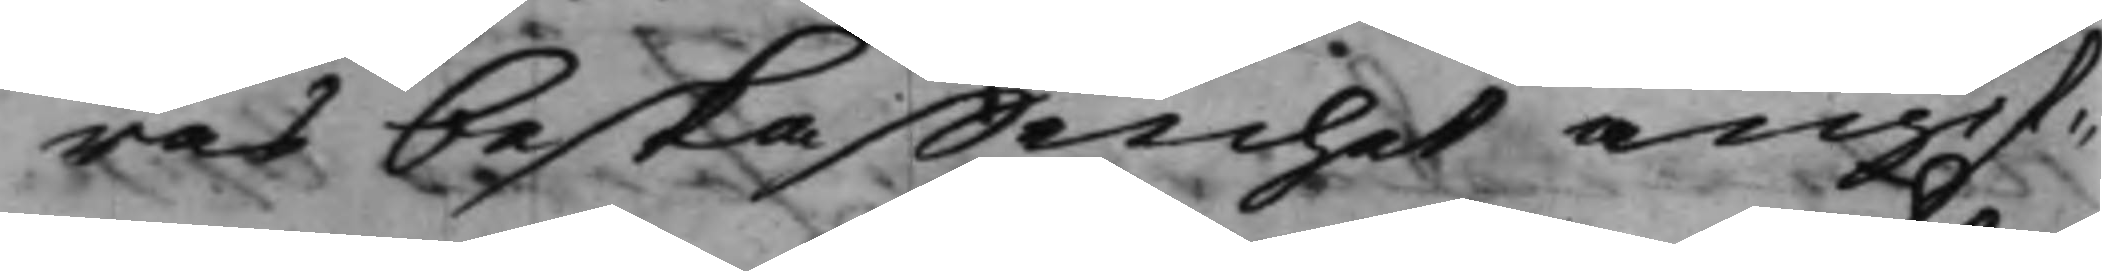ras beskaffenhet angif¬
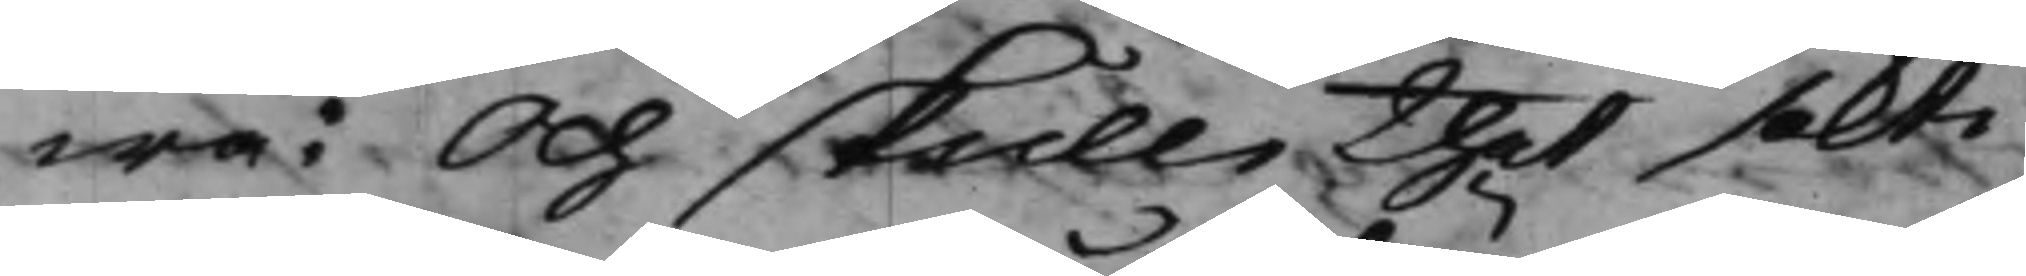wa: Och skulle thet sökte
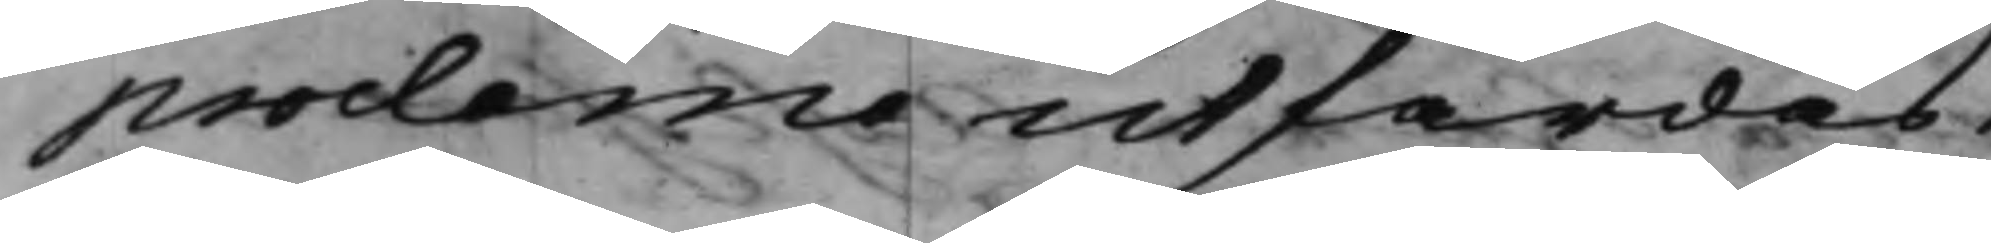proclama utfärdas.
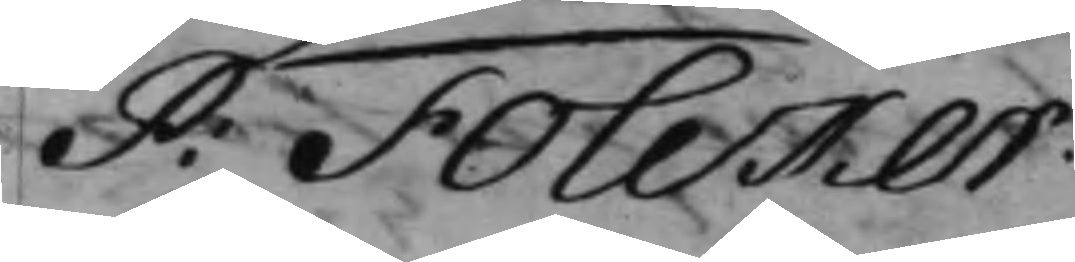P: Folcker.
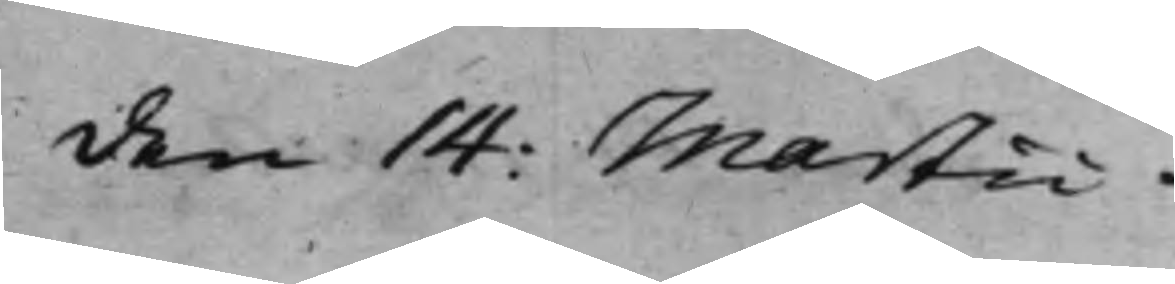den 14: Martii
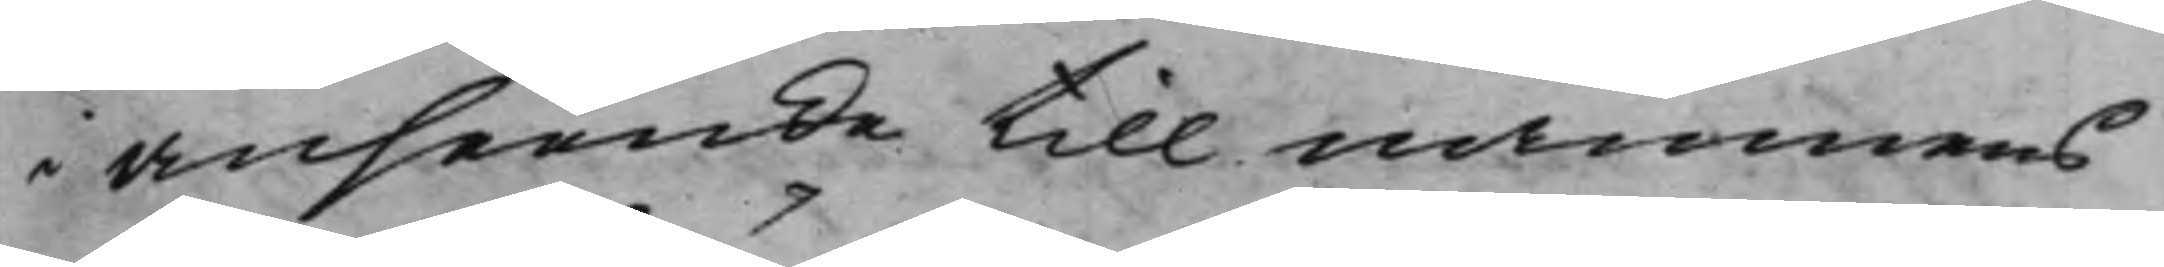i anseende till namnens
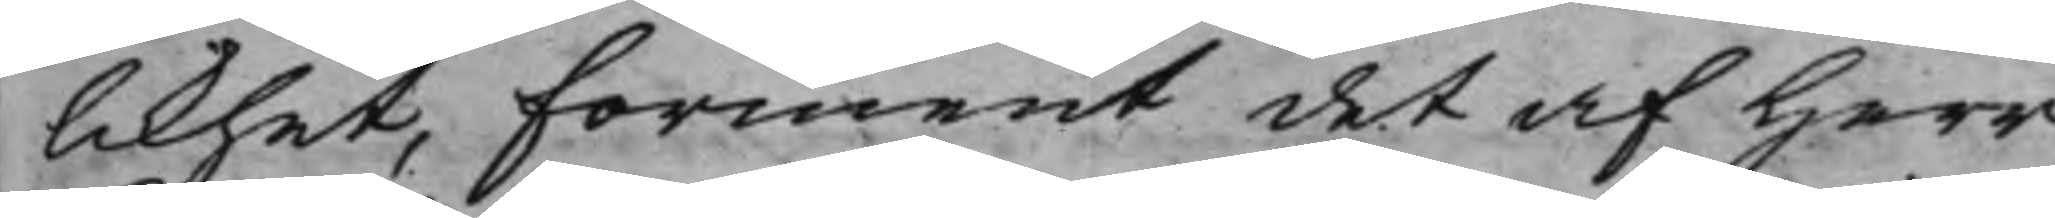likhet, förment det af Herr
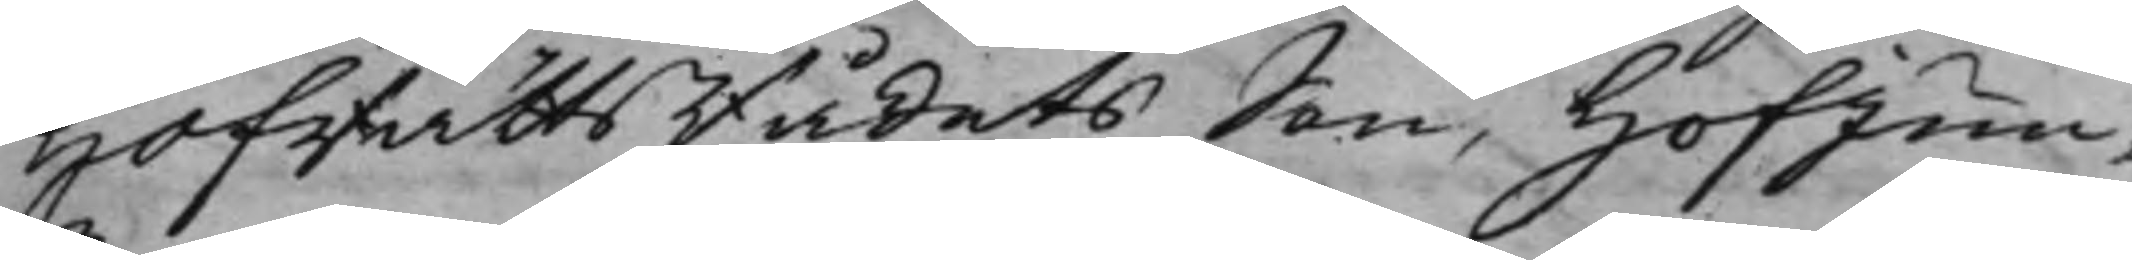HofrättsRådets Son, HofJun¬
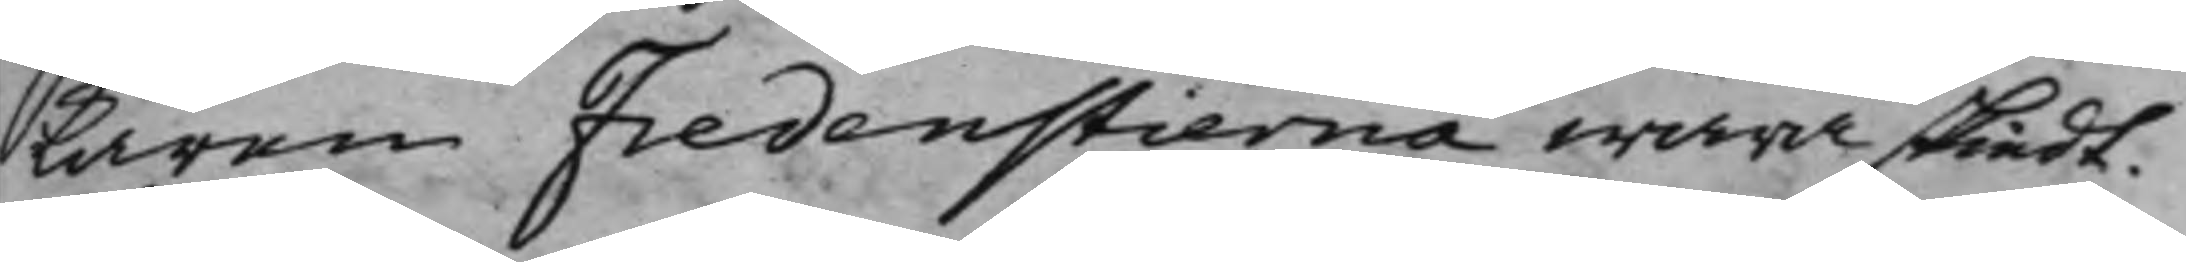karen Fredenstierna wara skiedt.
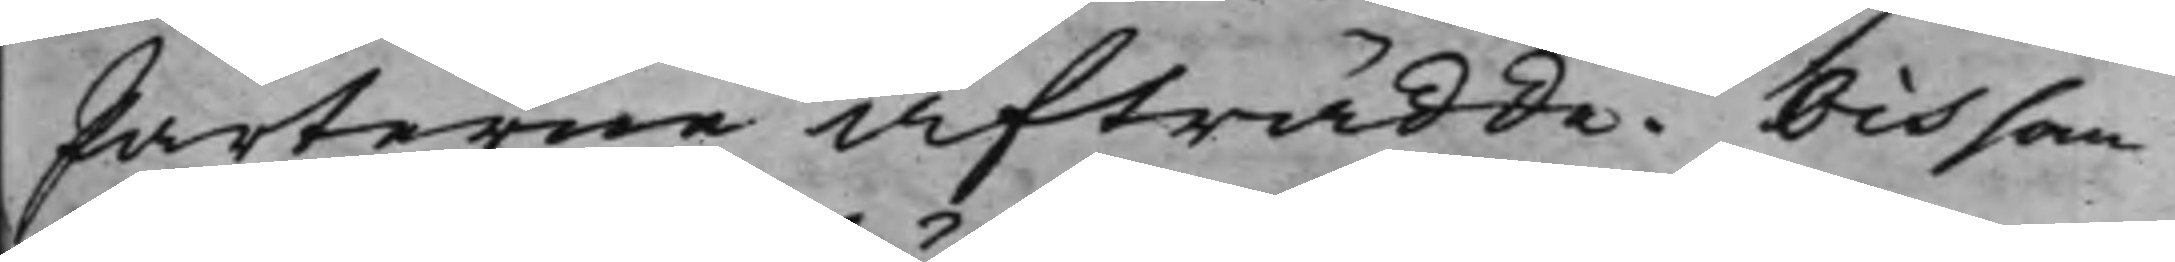Parterne afträdde. Och som
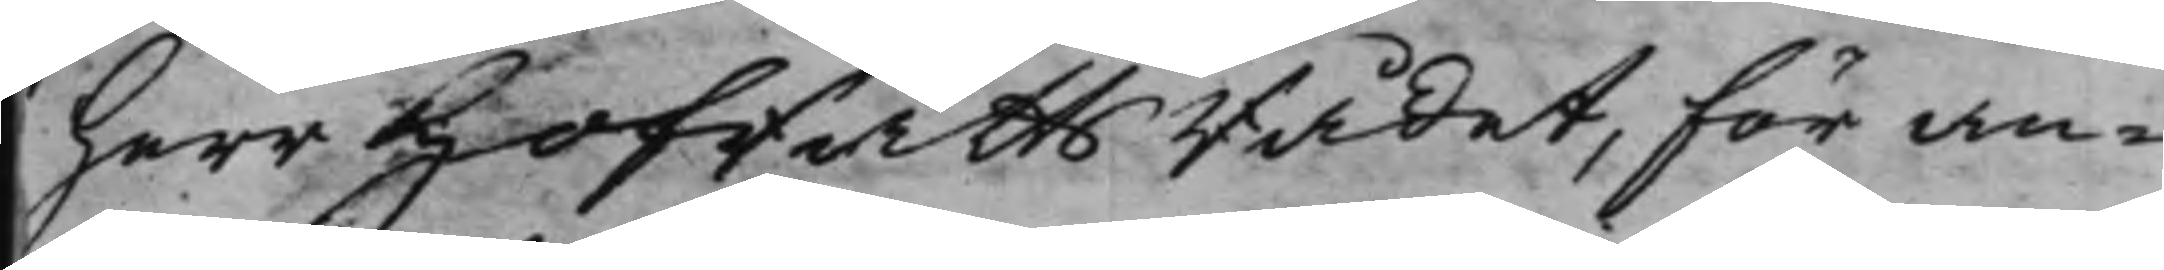Herr HofrättsRådet, för an¬
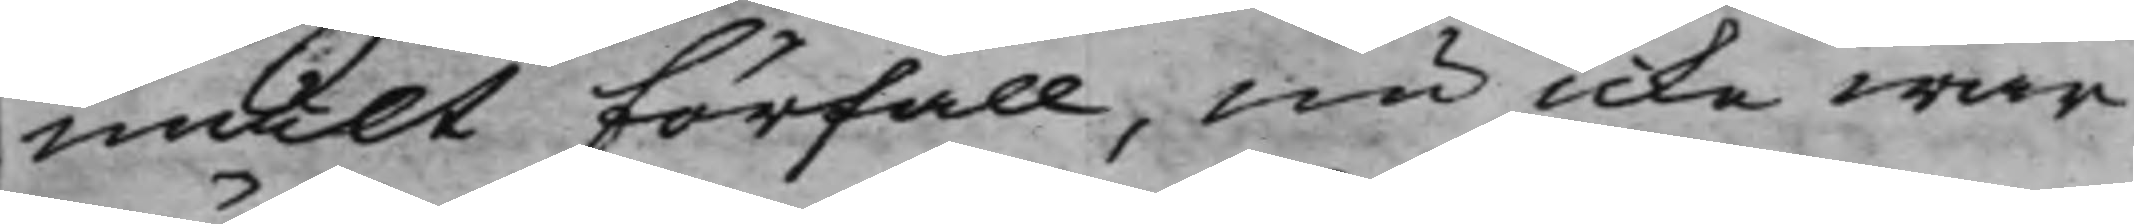mält förfall, nu icke war
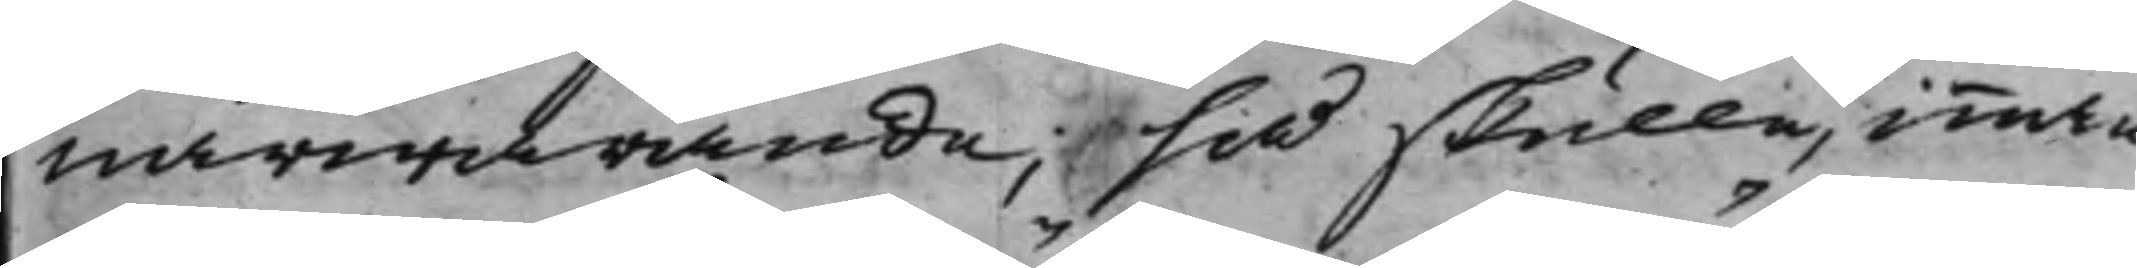närwarande, så skulle, innan
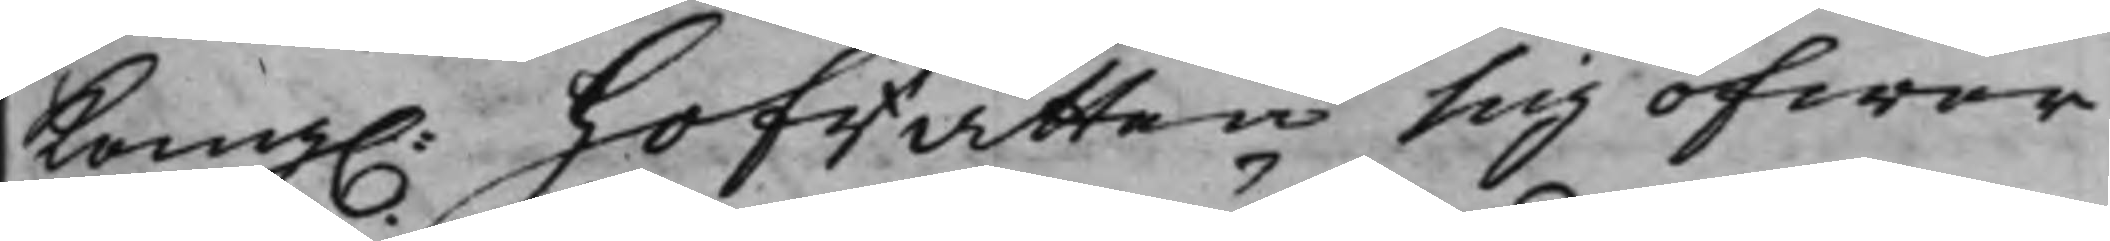Kong. Hofrätten sig öfwer
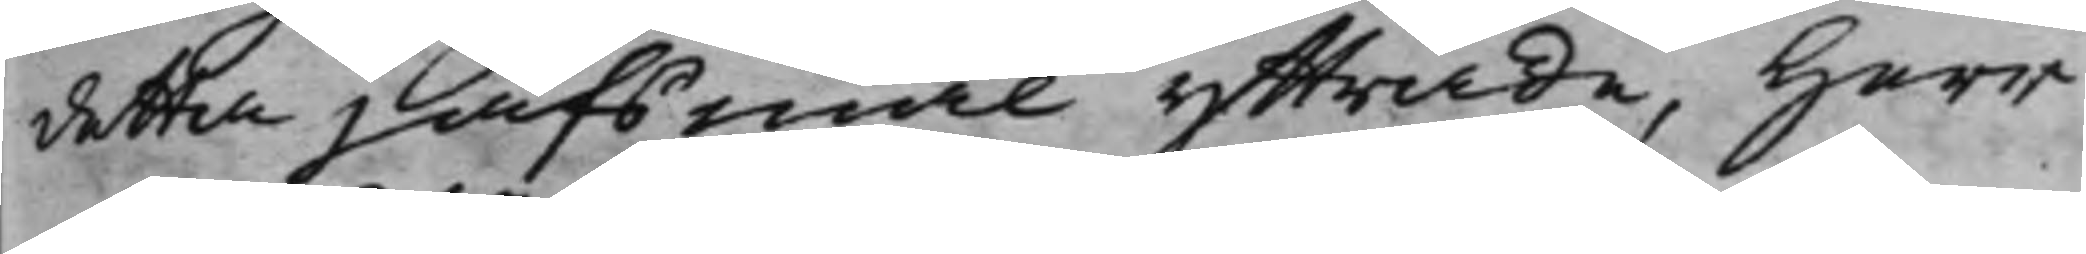detta jäfsmål yttrade, Herr
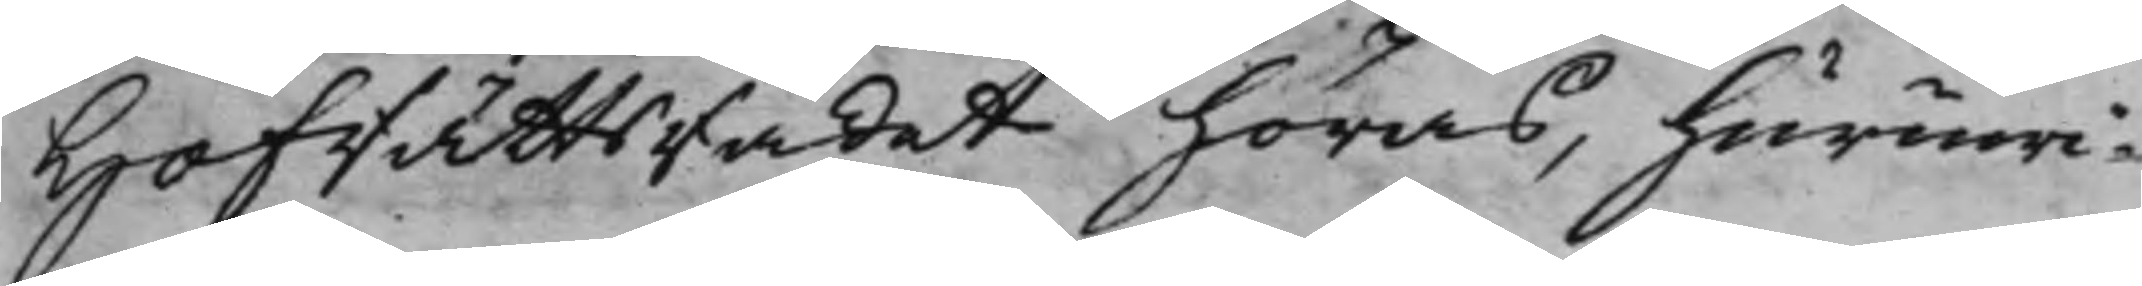HofRättsRådet höras, huruwi¬
